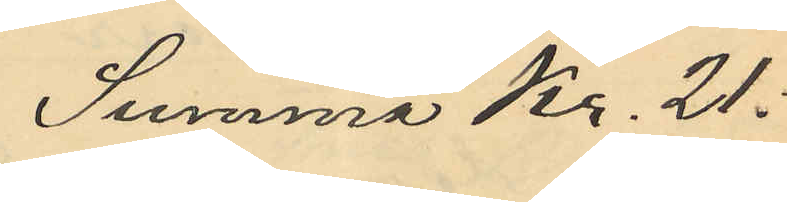Summa Kr. 21:
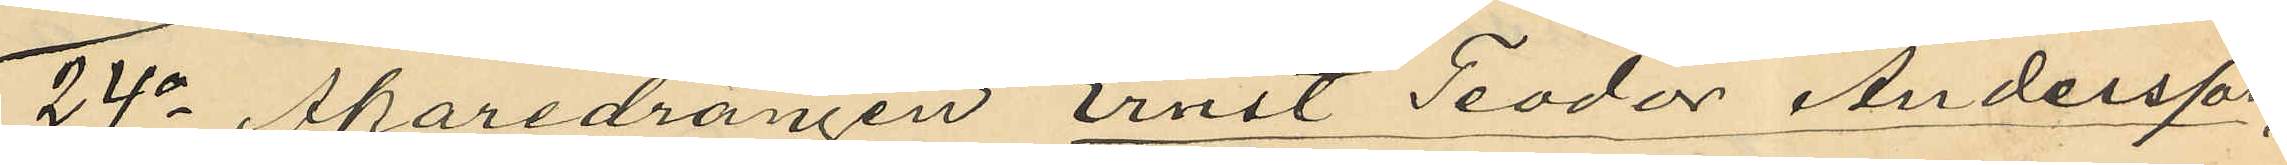24o Åkaredrängen Ernst Teodor Andersson,
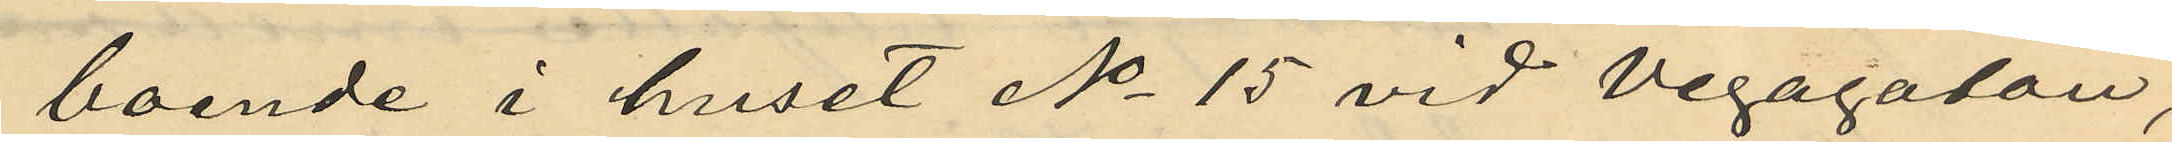boende i huset No 15 vid Vegagatan,
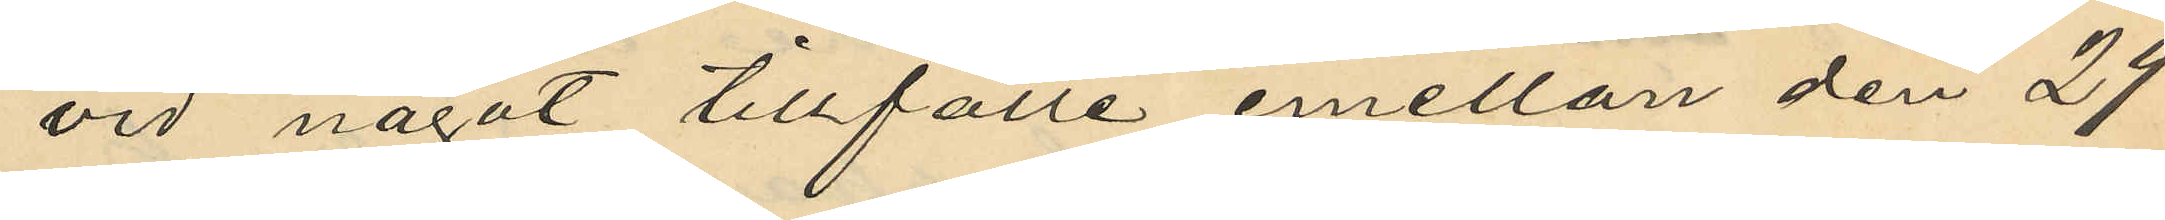vid något tillfälle emellan den 29
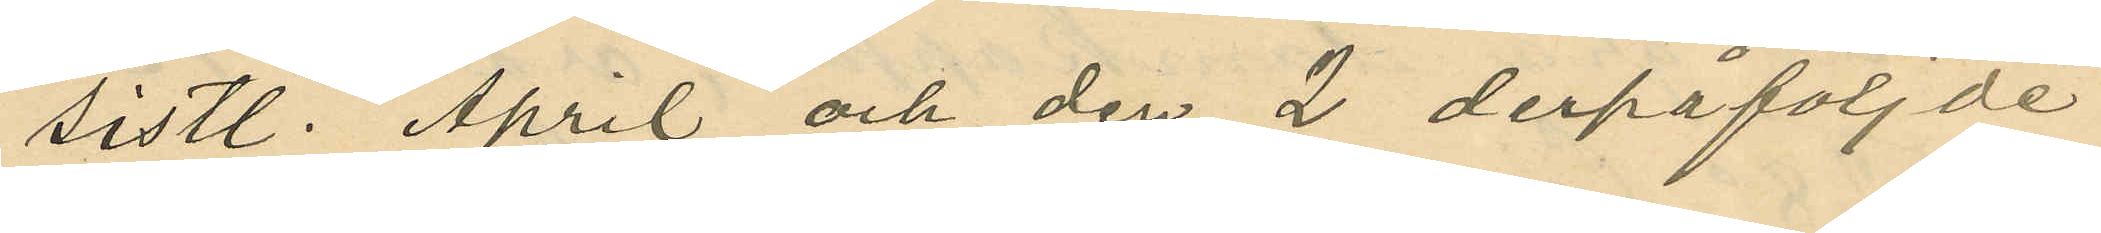sistl. April och den 2 derpåföljde
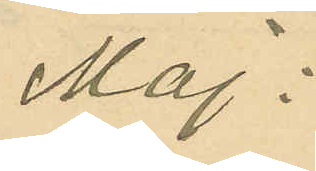Maj;
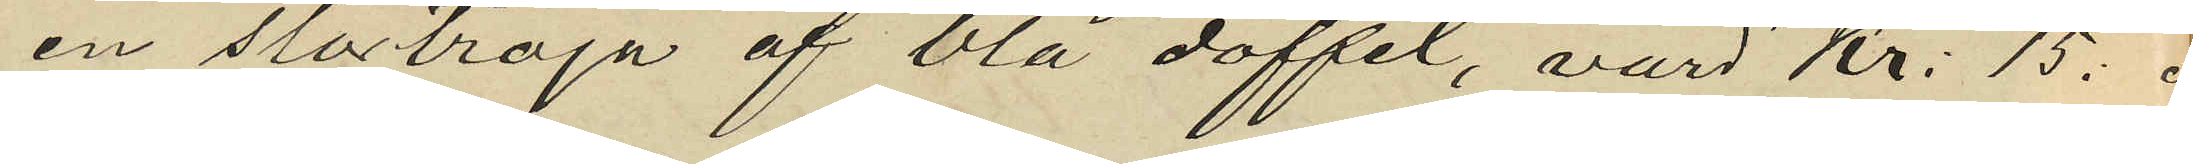en stortröja af blå doffel, värd Kr: 15.
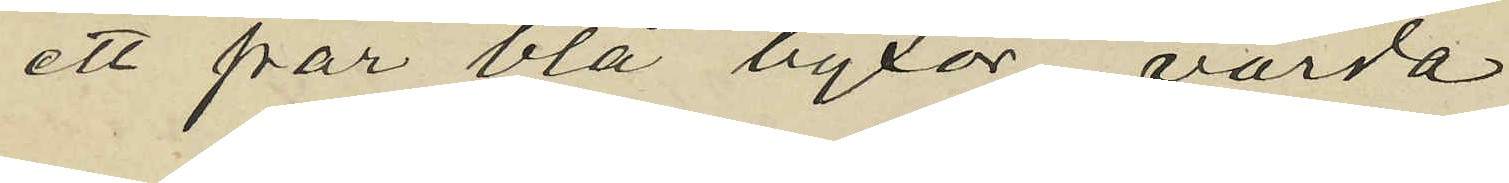ett par blå byxor värda
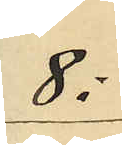8:
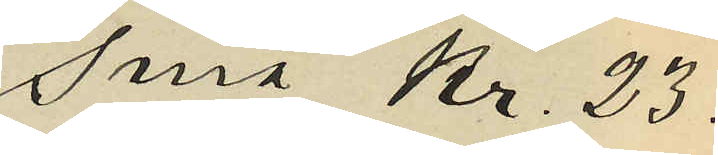Sma Kr. 23.
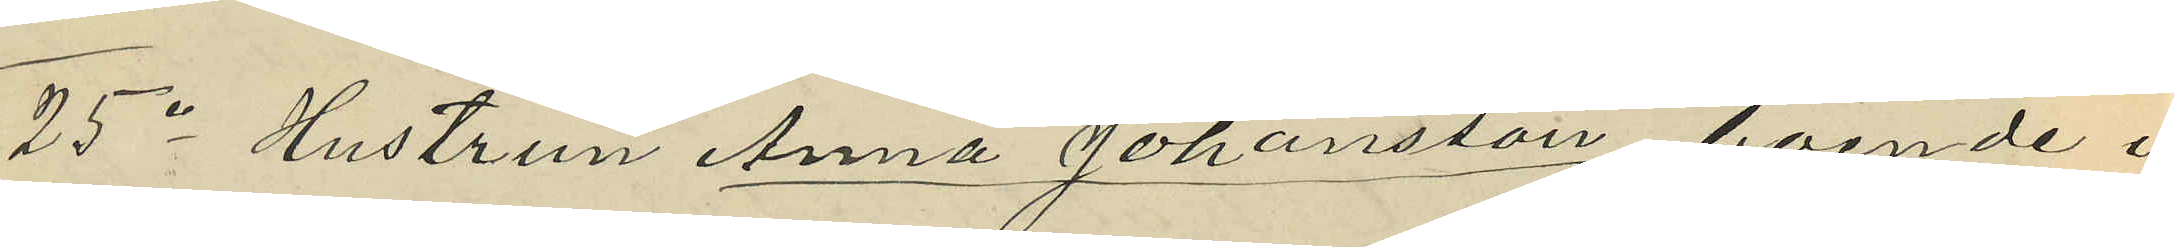25o Hustrun Anna Johansson, boende i
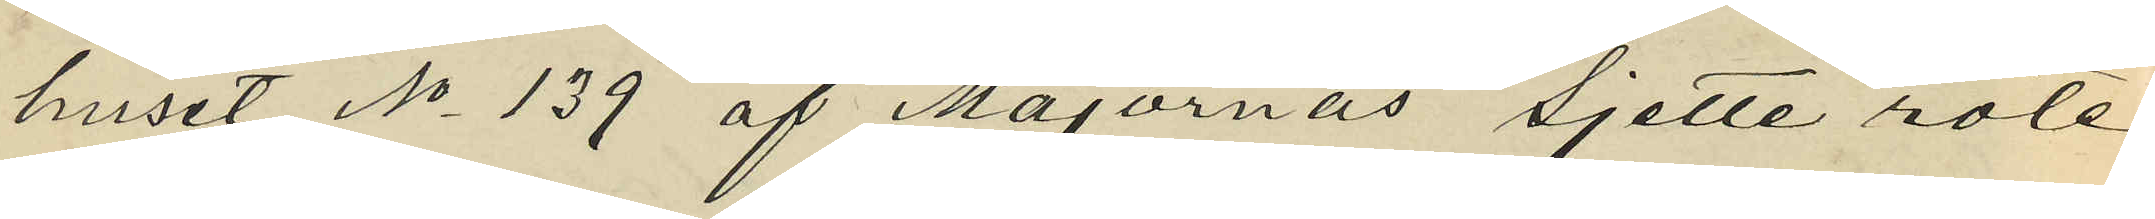huset No 139 af Majornas sjette rote,
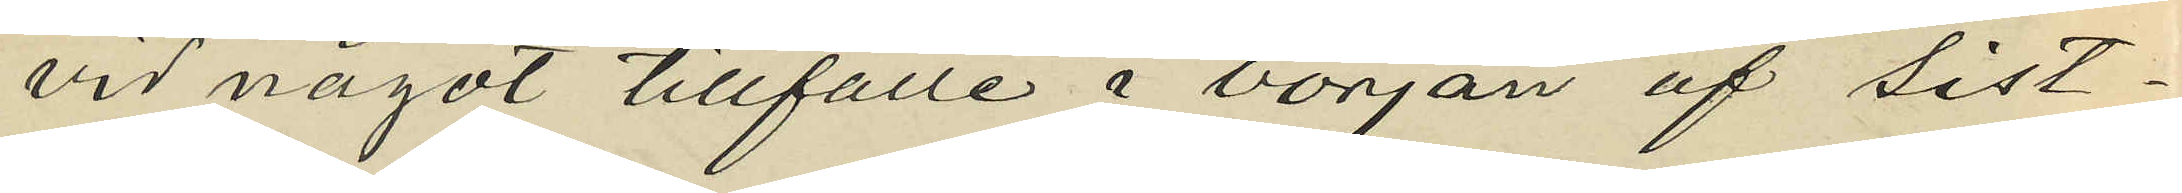vid något tillfälle i början af sist¬
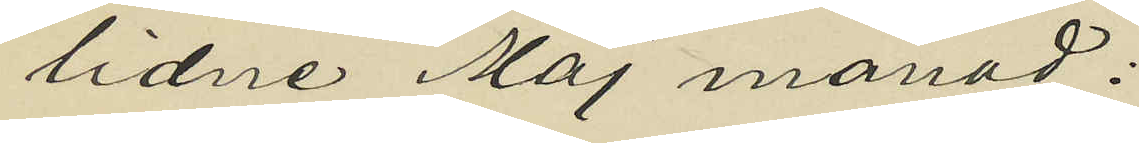lidne Maj månad;
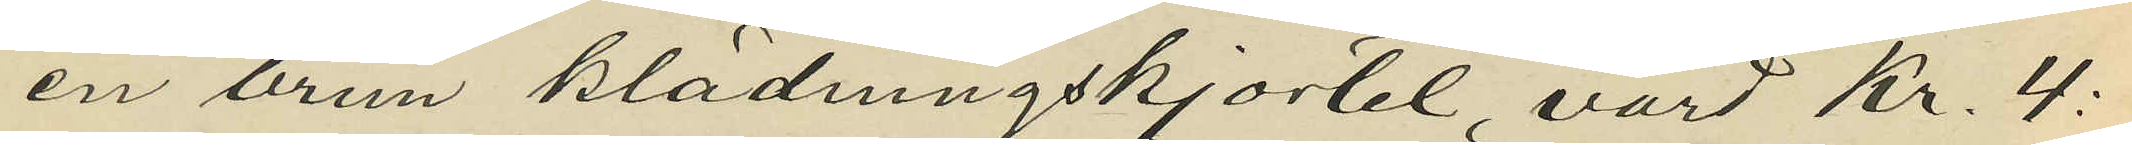en brun klädningskjortel, värd Kr. 4:
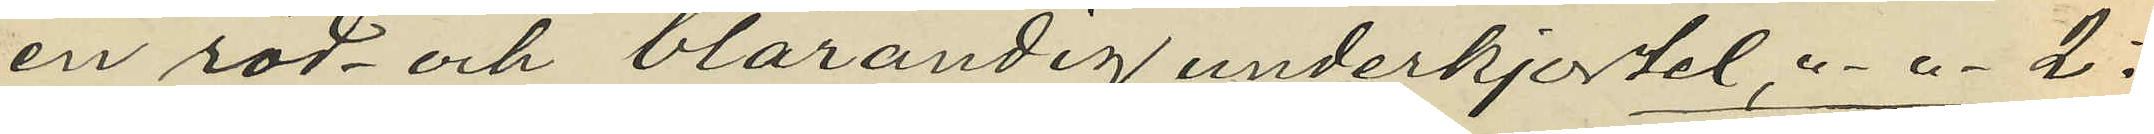en röd och blårandig underkjortel, " - " - 2:
